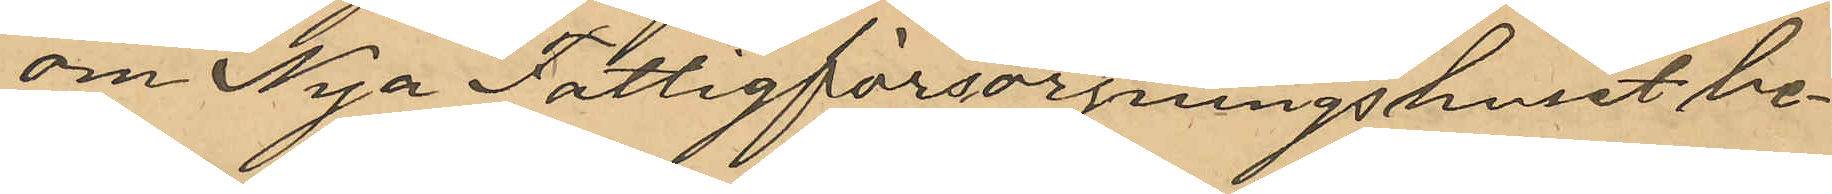om Nya Fattigförsörjningshuset be¬
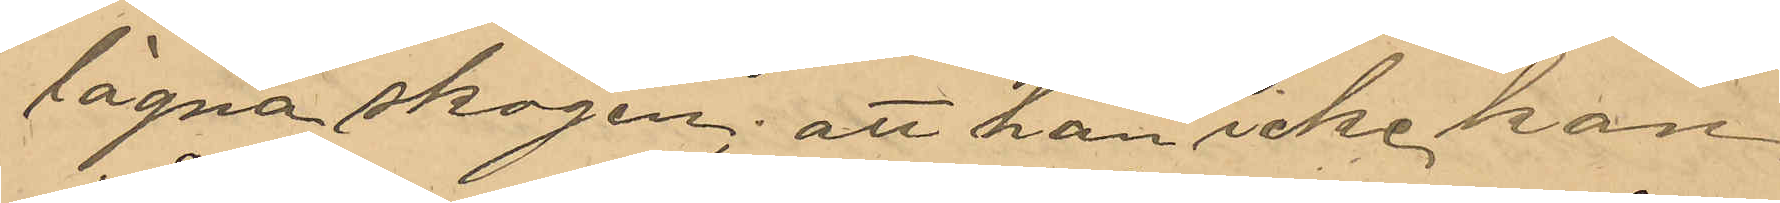lägna skogen; att han icke kan
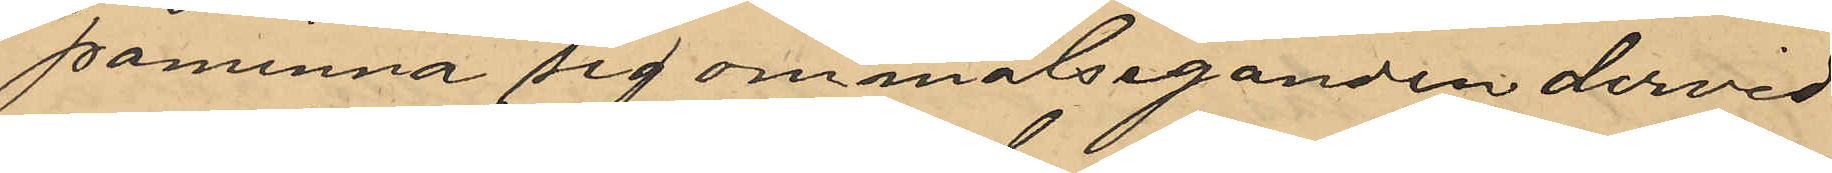påminna sig om målseganden dervid
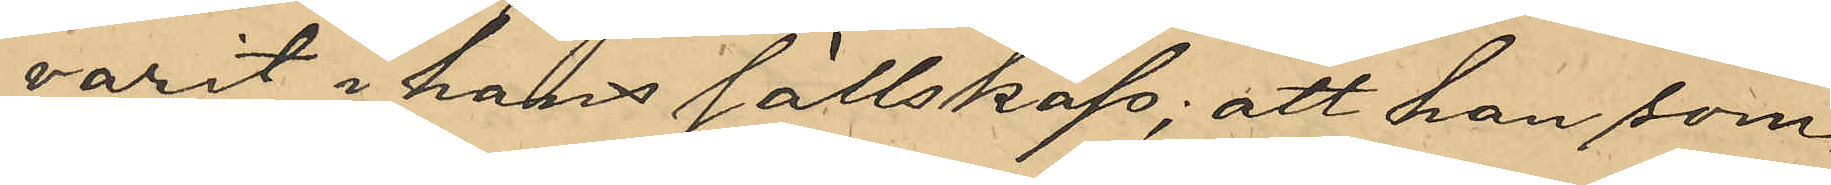varit i hans sällskap; att han som
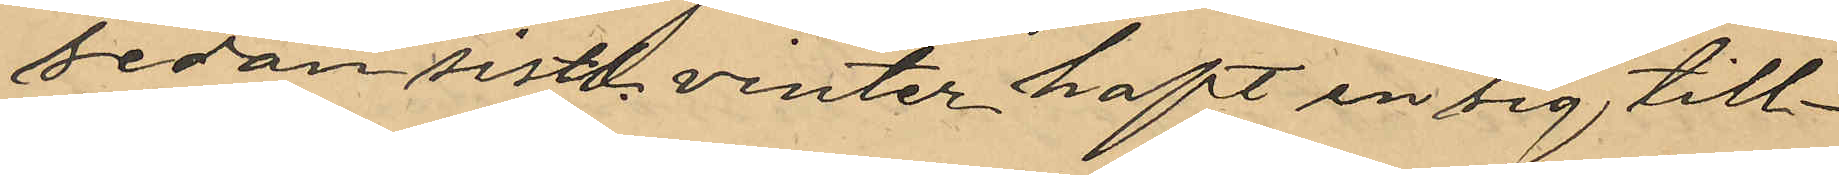sedan sistl. vinter haft en sig till¬
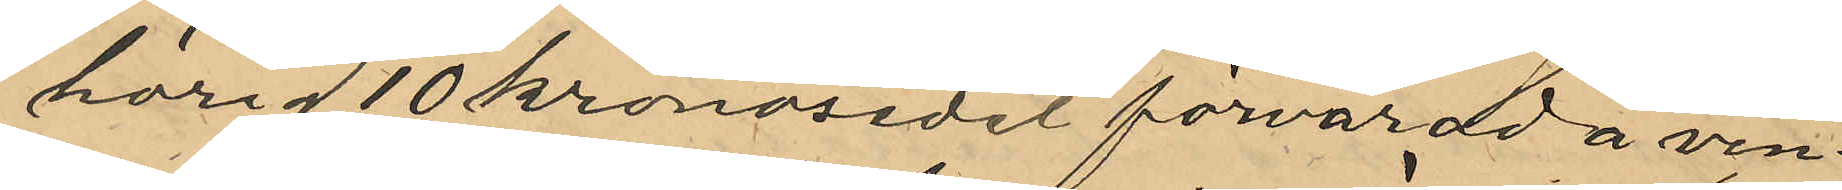hörig 10 kronosedel förvarad å vin¬
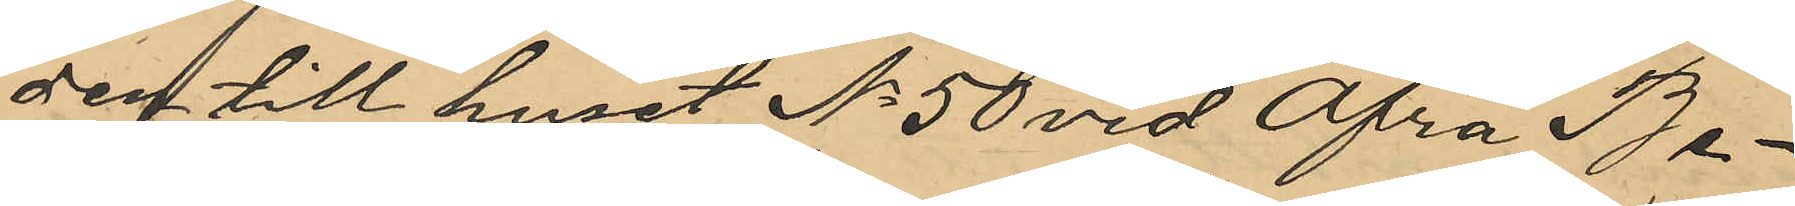den till huset No 50 vid Öfra Be¬
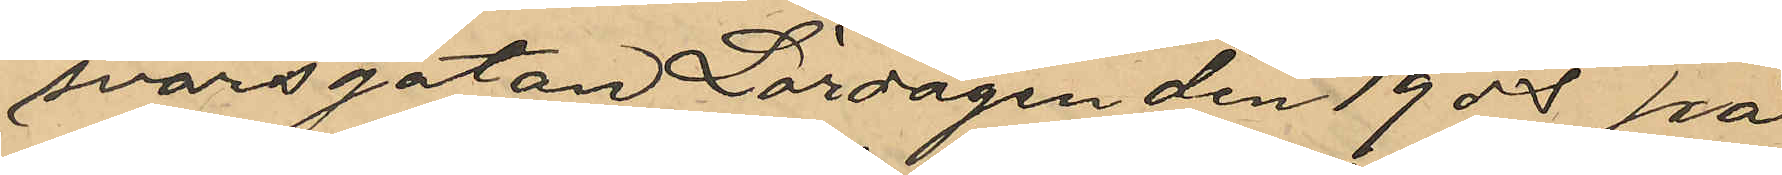svärsgatan Lördagen den 19 ds på
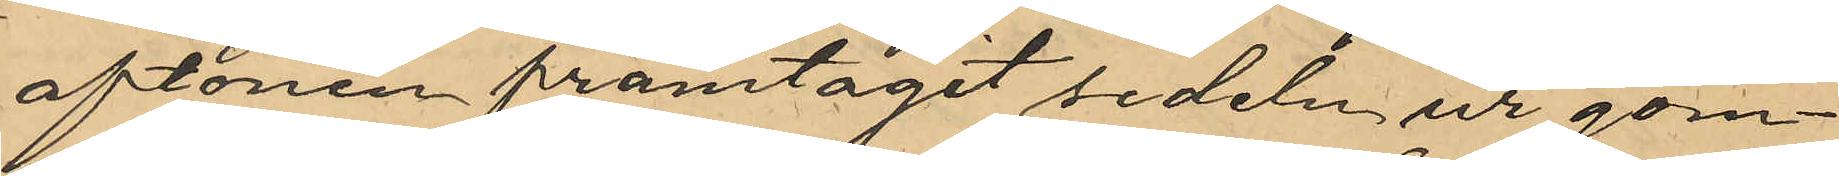aftonen framtagit sedeln ur göm¬
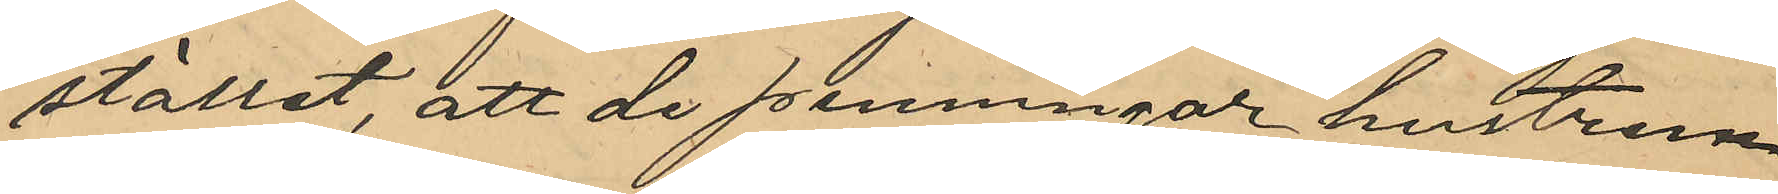stället; att de penningar hustrun
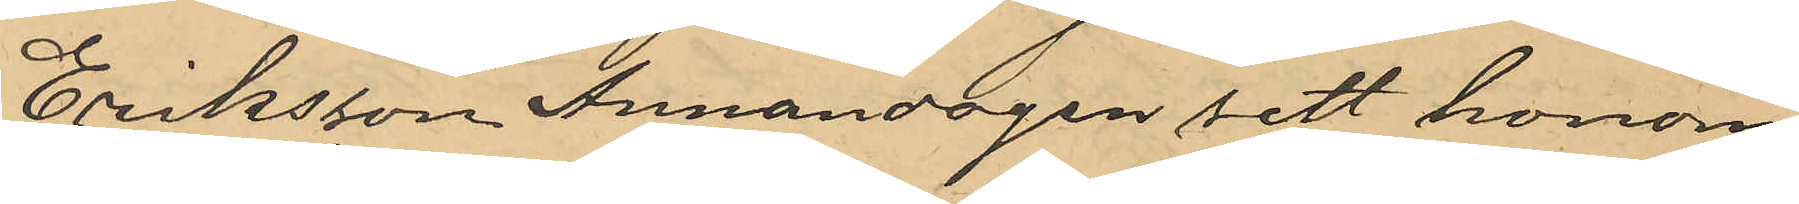Eriksson Annandagen sett honom
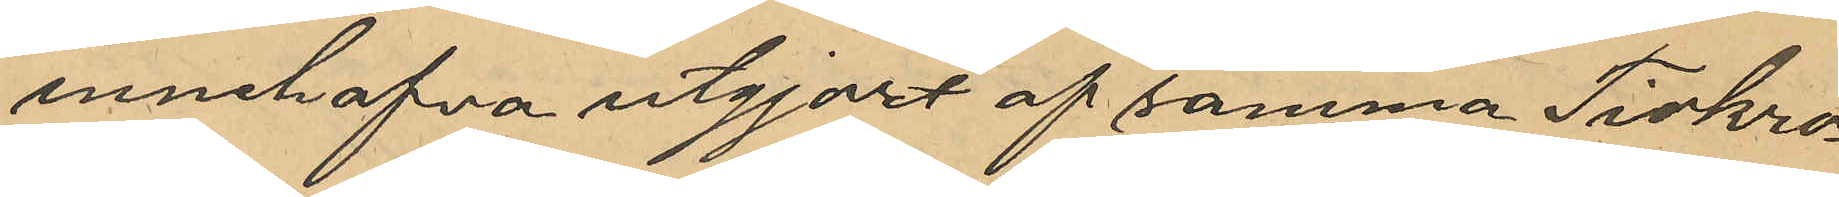innehafva utgjort af samma Tiokro¬
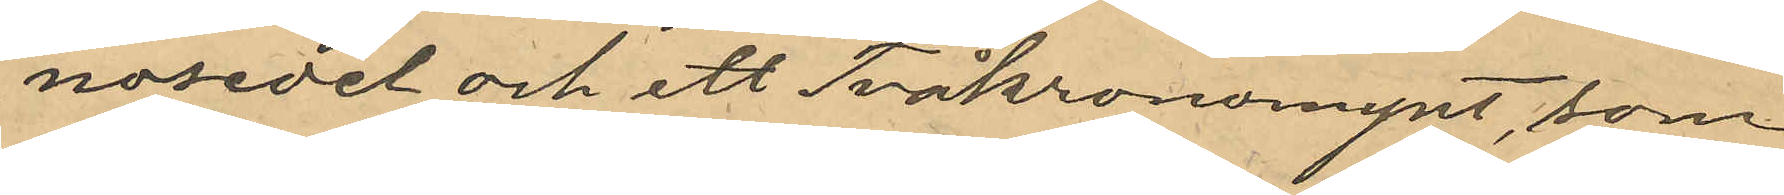nosedel ett Tvåkronomynt, som
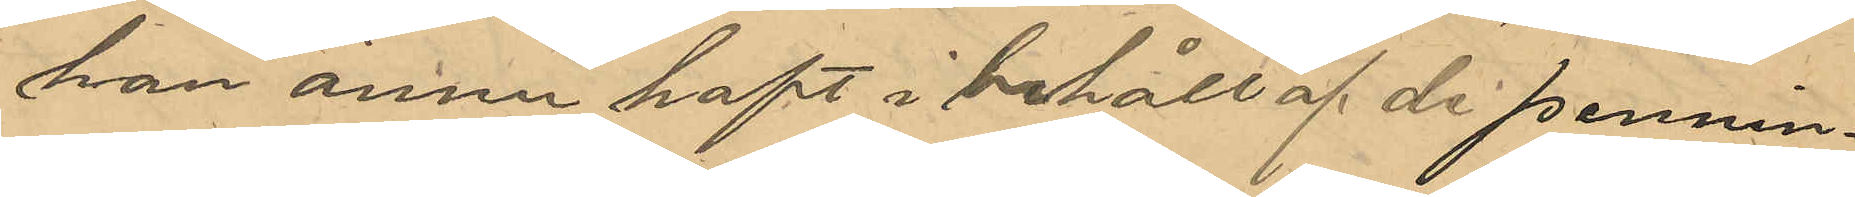han ännu haft i behåll af de pennin¬
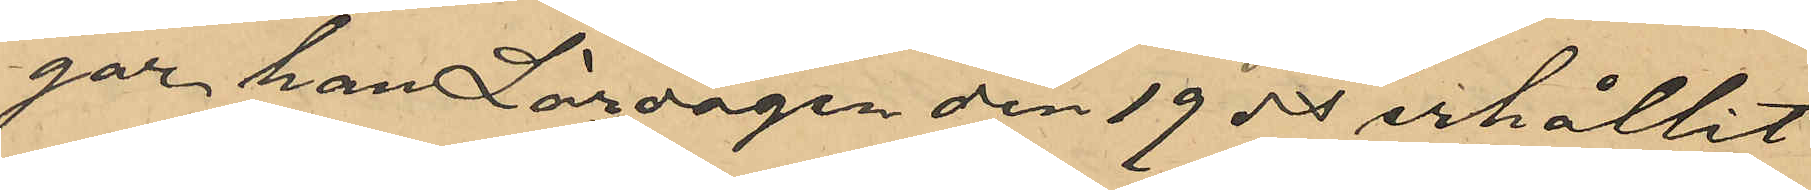gar han Lördagen den 19 ds erhållit
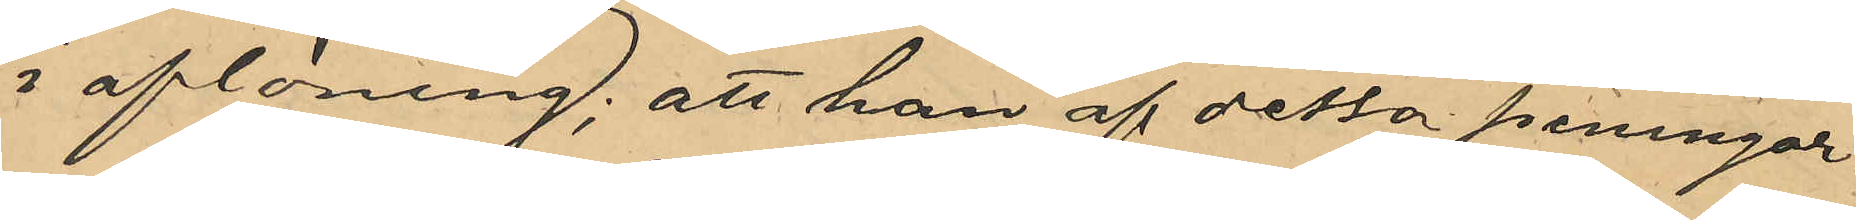i aflöning; att han af dessa penningar
